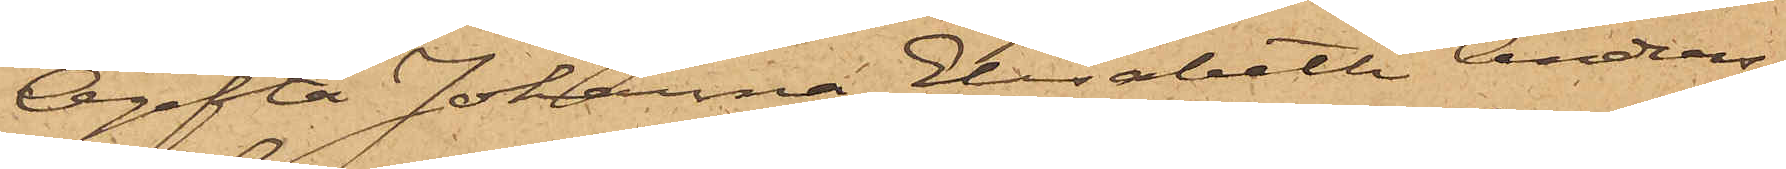Ogifta Johanna Elisabeth Anders¬
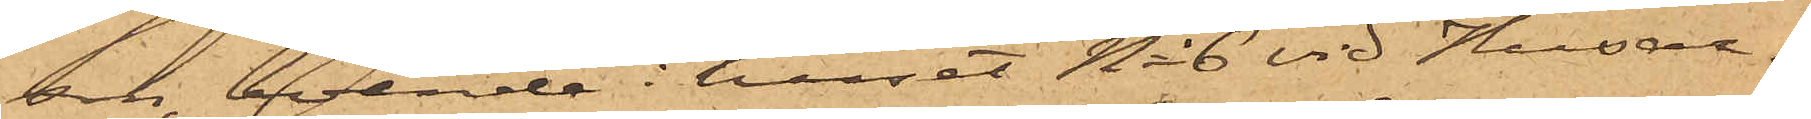son, boende i huset No 6 vid Husar¬
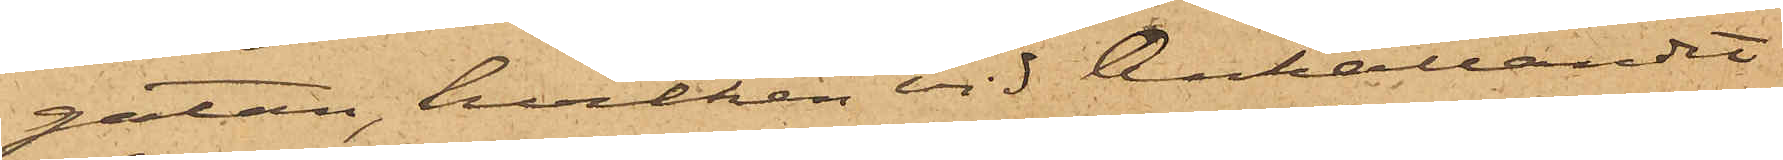gatan, hvilken vid Anhållandet
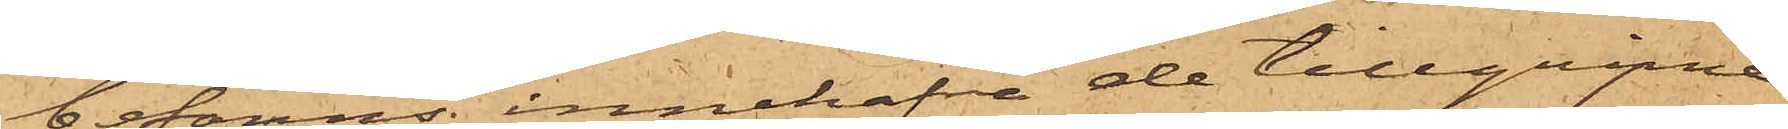befanns innehafva de tillgripne
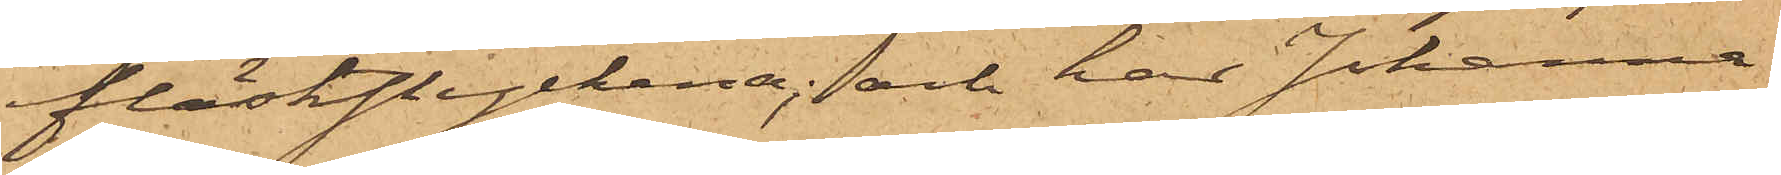fläskstyckena; och har Johanna
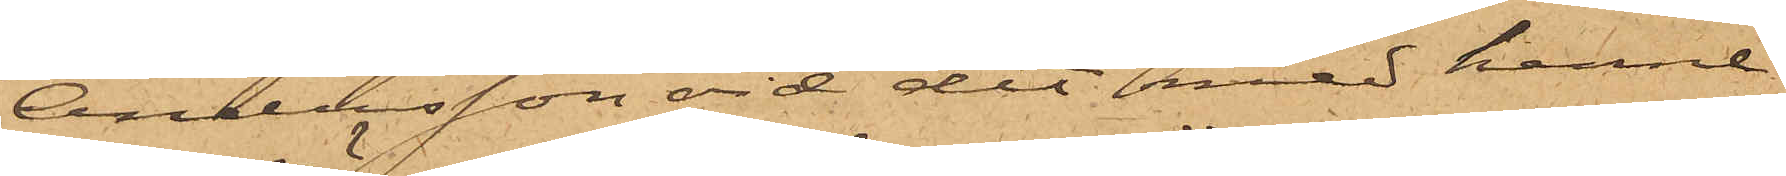Andersson vid det med henne
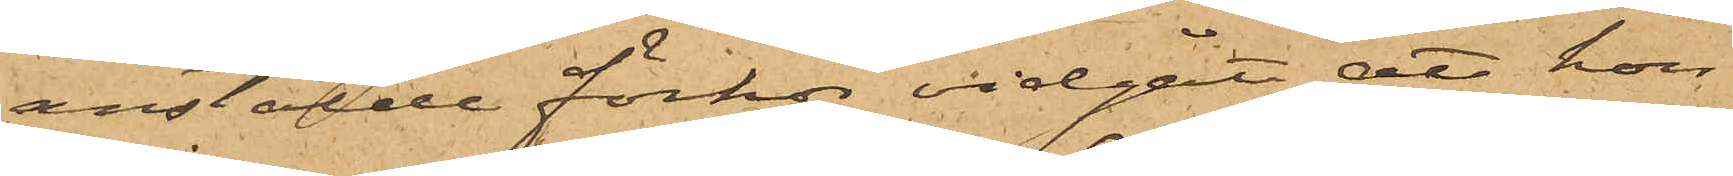anstälde förhör vidgått, att hon
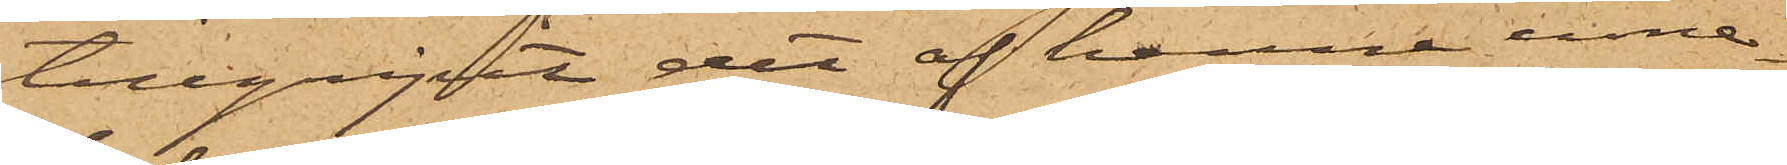tillgripit det af henne inne¬
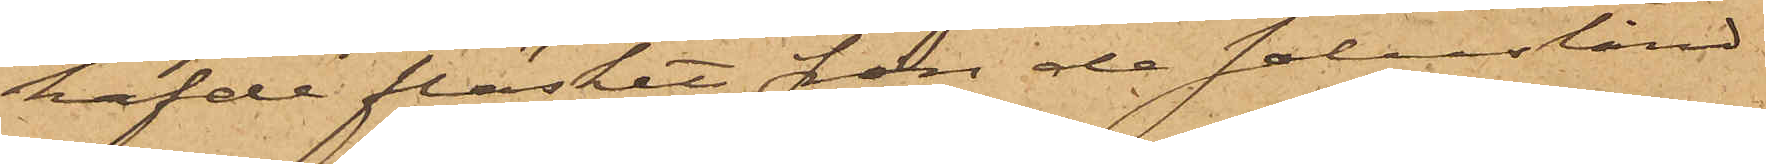hafde fläsket från de salustånd
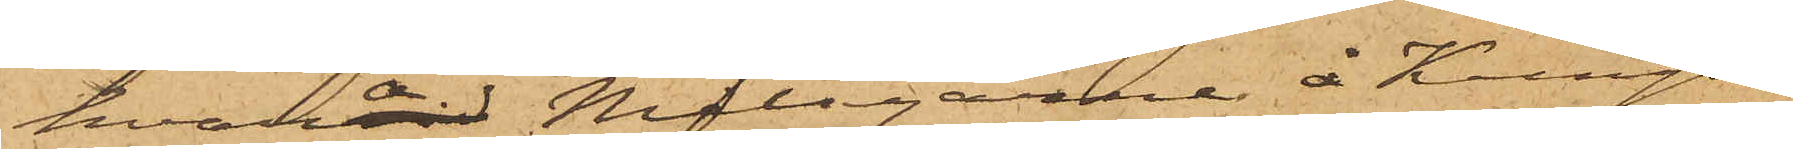hvarå Målsegarne å Kungs¬
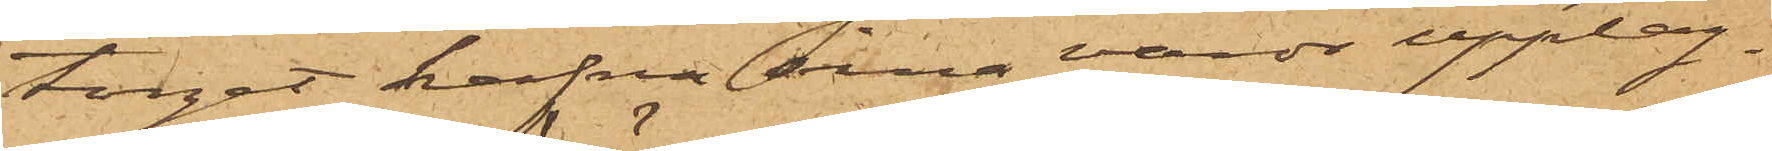torget hafva sina varor upplag¬
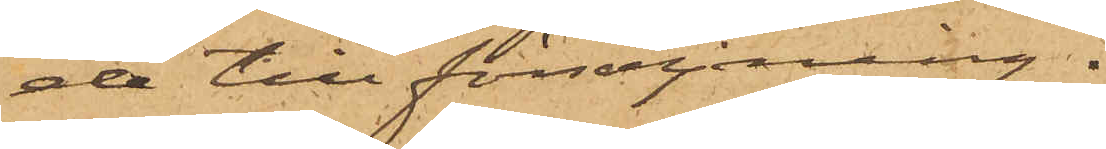de till försäljning.
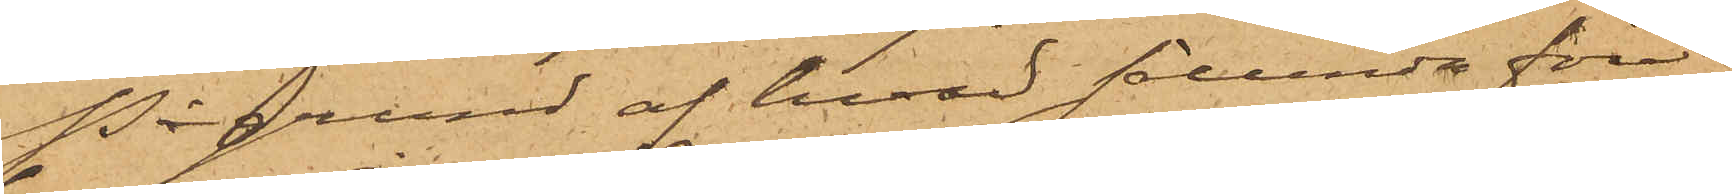På grund af hvad sålunda före¬
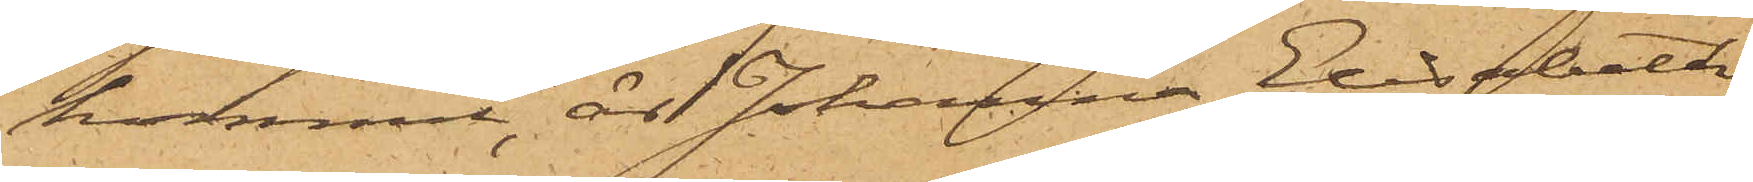kommit, är Johanna Elisabeth
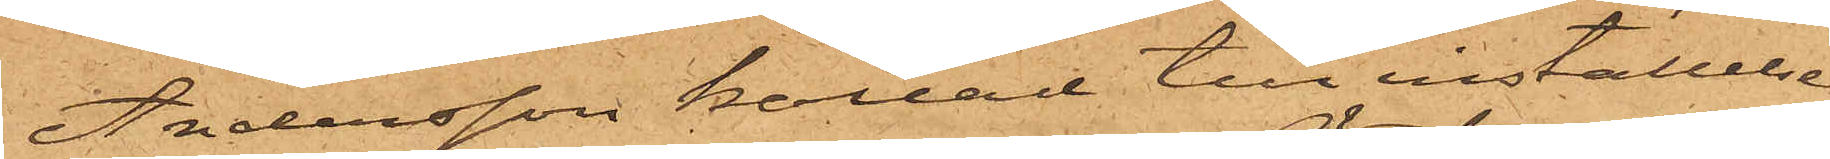Andersson kallad till inställelse
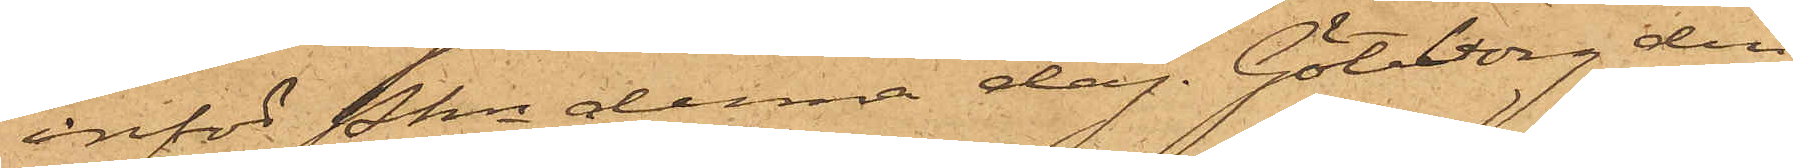inför Pkn denna dag. Göteborg den
